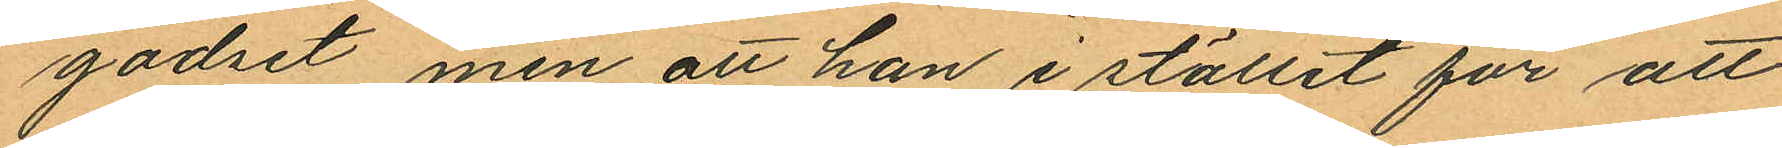godset, men att han i stället för att
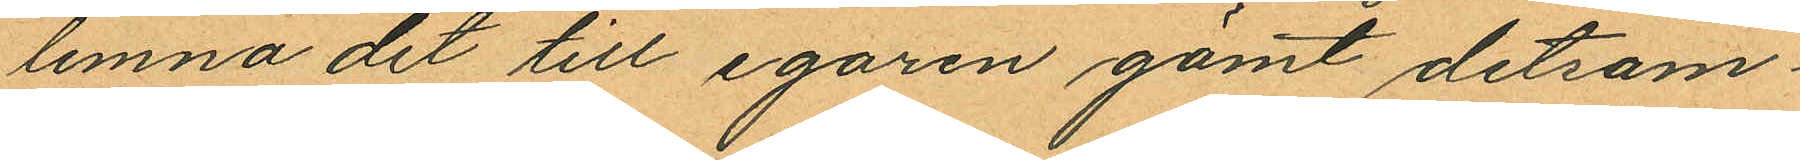lemna det till egaren gömt detsam¬
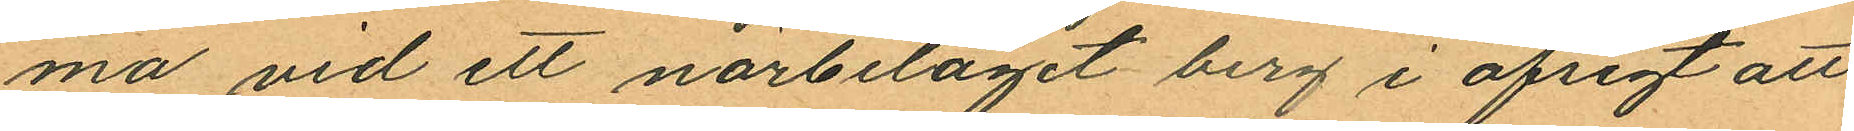ma vid ett närbeläget berg i afsigt att
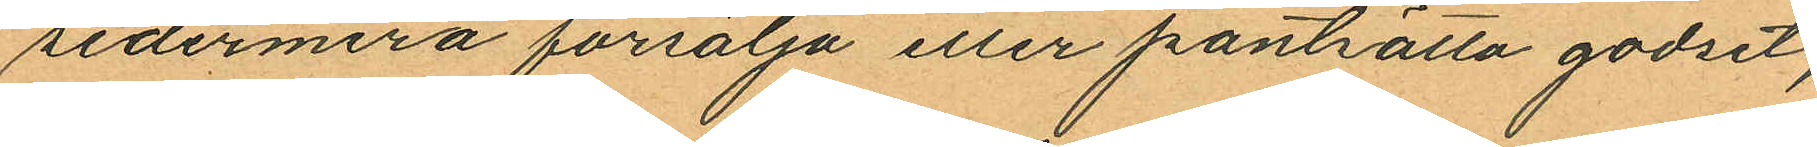sedermera försälja eller pantsätta godset;
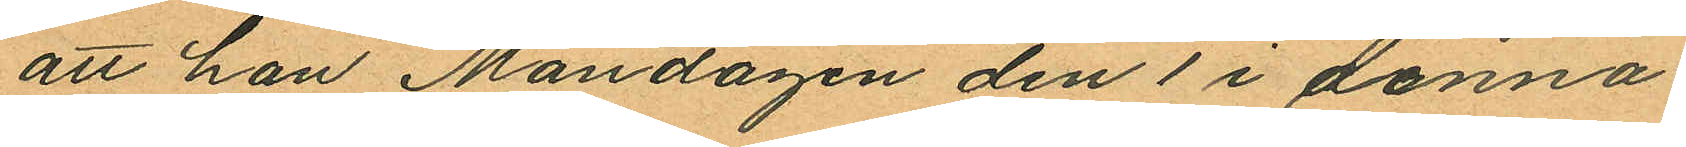att han Måndagen den 1 i denna
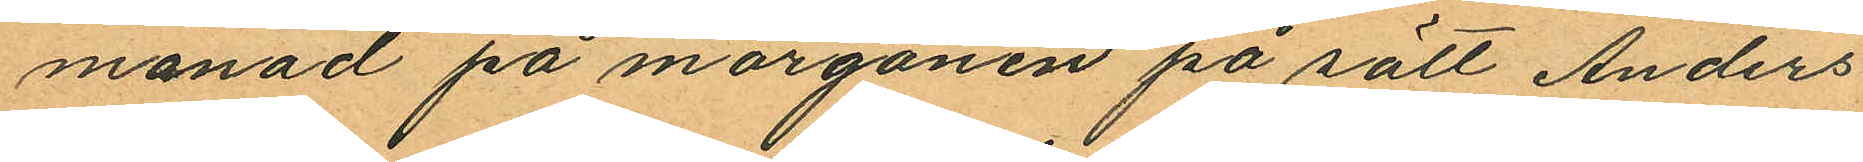månad på morgonen på sätt Anders
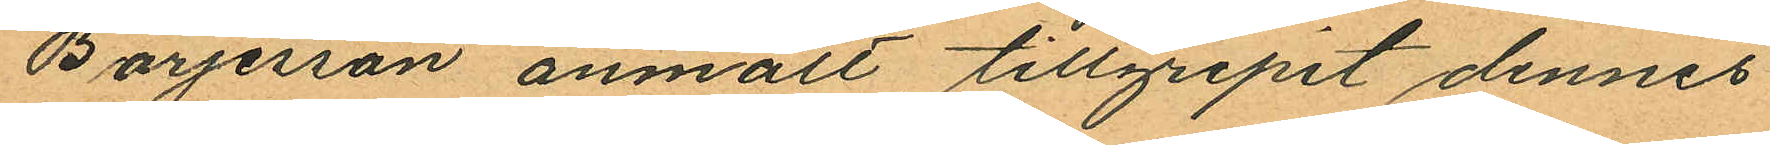Börjesson anmält, tillgripit dennes
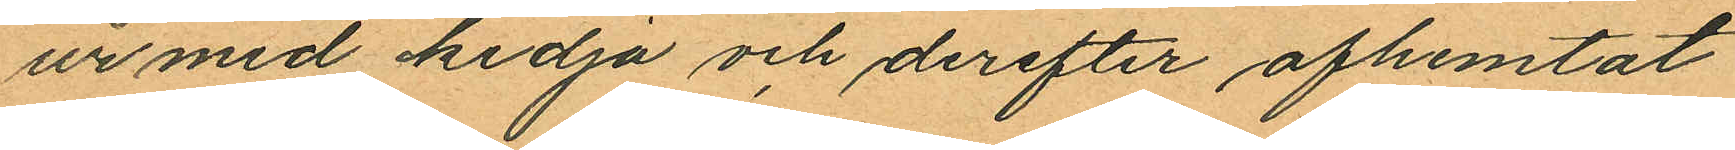ur med kedja och derefter afhemtat
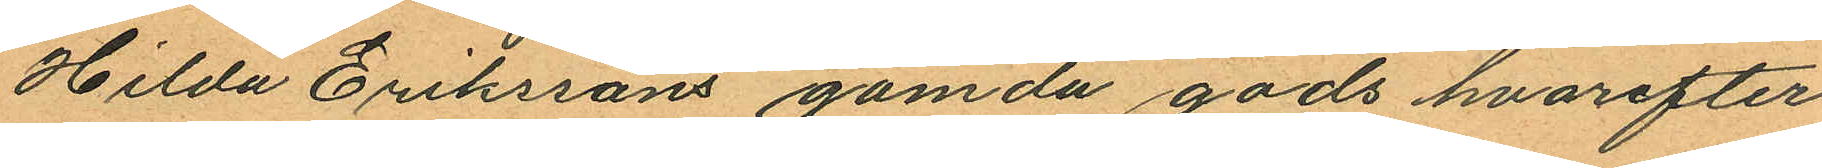Hilda Erikssons gömda gods hvarefter
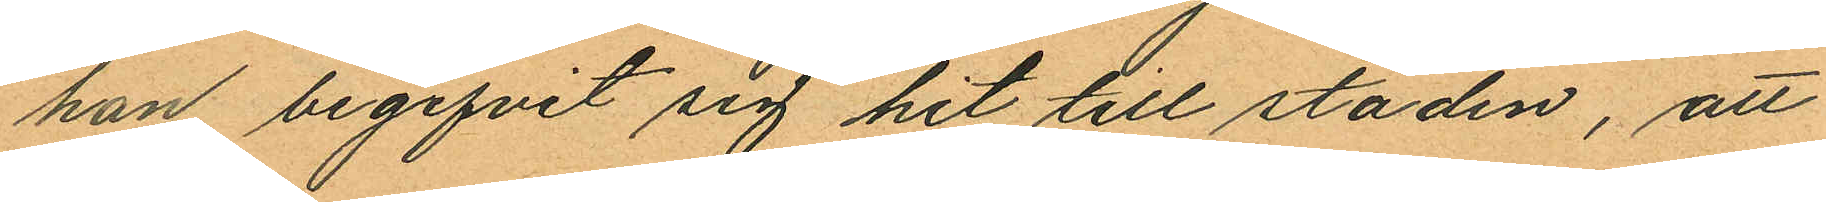han begifvit sig hit till staden, att
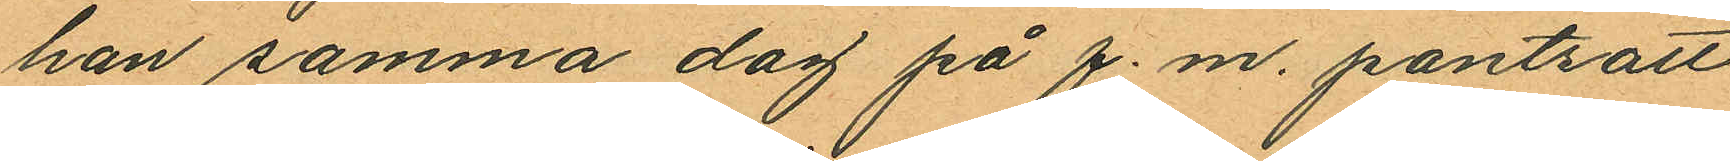han samma dag på f.m. pantsatt
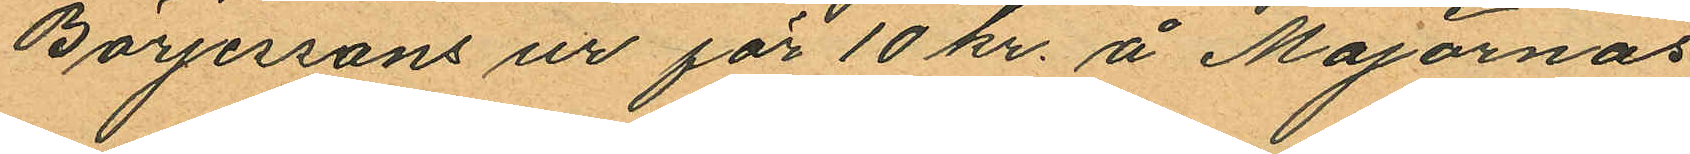Börjessons ur för 10 kr. å Majornas
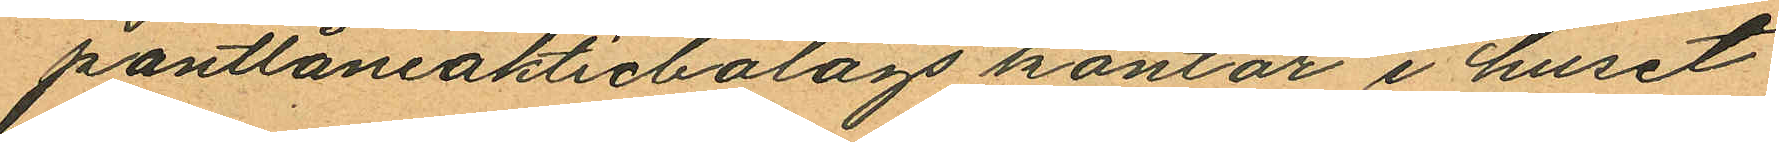pantlåneaktiebolags kontor i huset
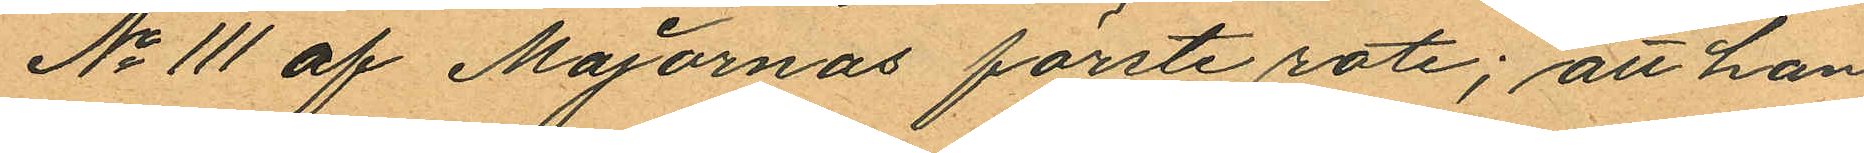No 111 af Majornas förste rote; att han
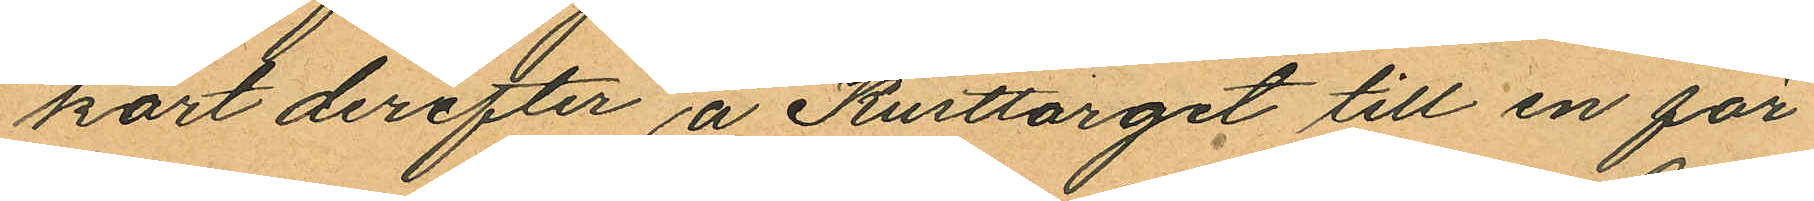kort derefter å Kusttorget till en för
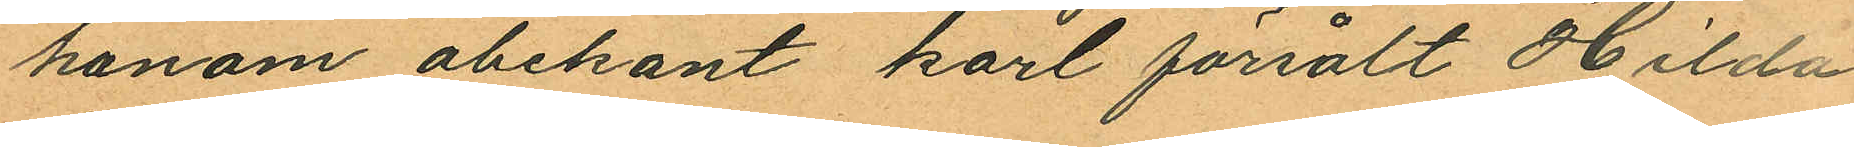honom obekant karl försålt Hilda
